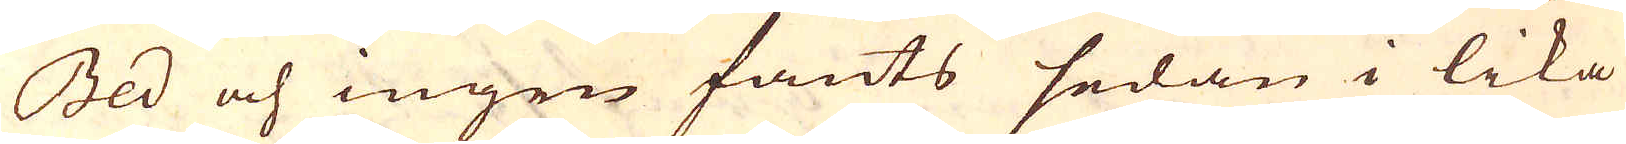Bed och ingen fants sedan i lika
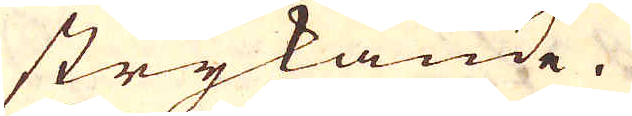strykande.
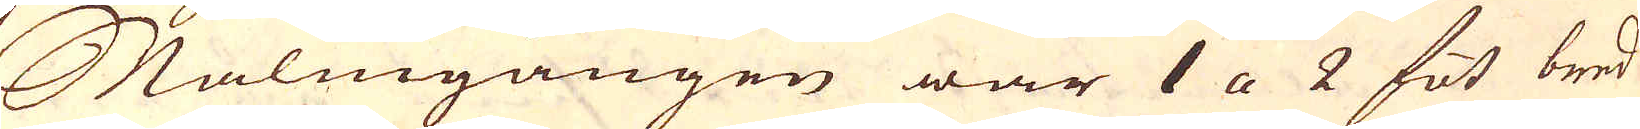Malmgången war 1 a 2 fot bred
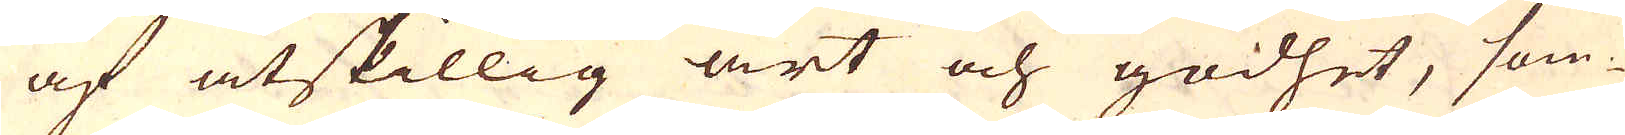af åtskillig art och godhet, som-
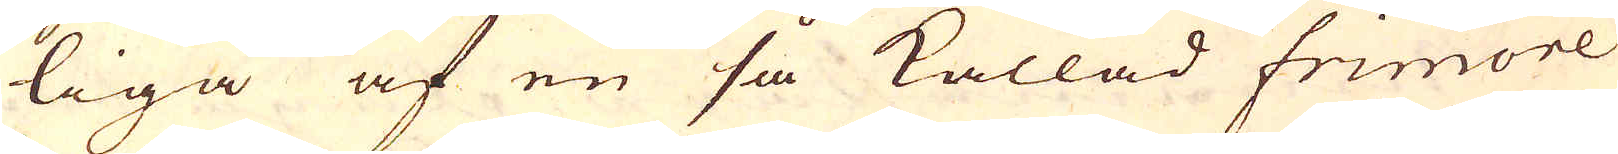liga af en så kallad frimore
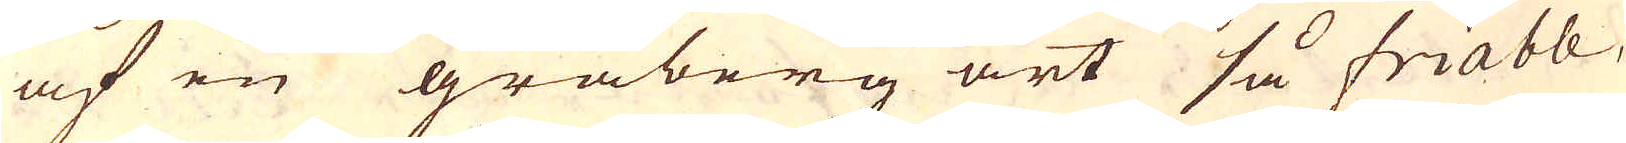af en gråberg art så friable,
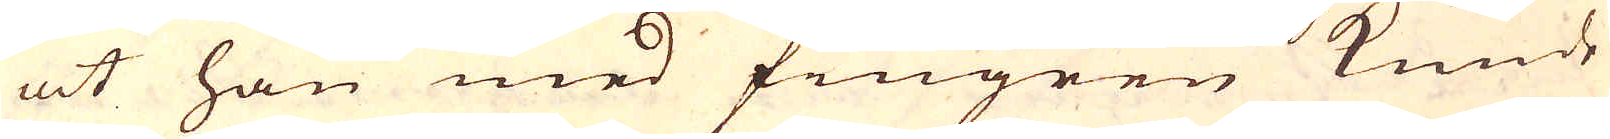at han med fingren kunde
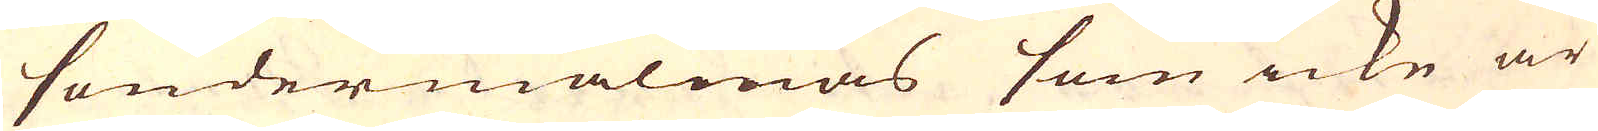söndermalmas som icke är
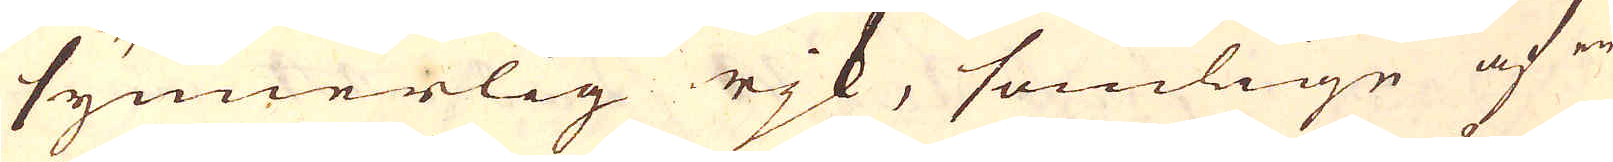synnerlig rjk, somlige af en
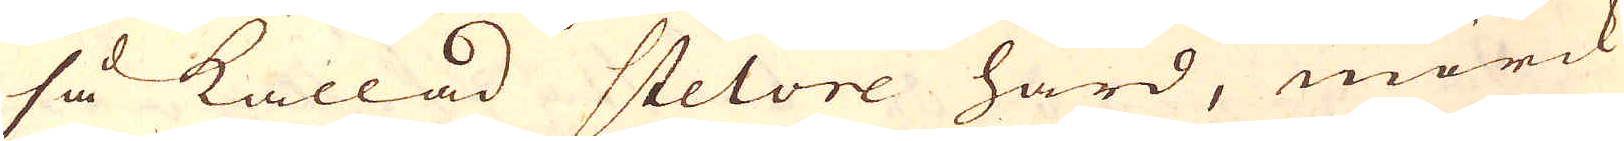så kallad stelore hård, mörck
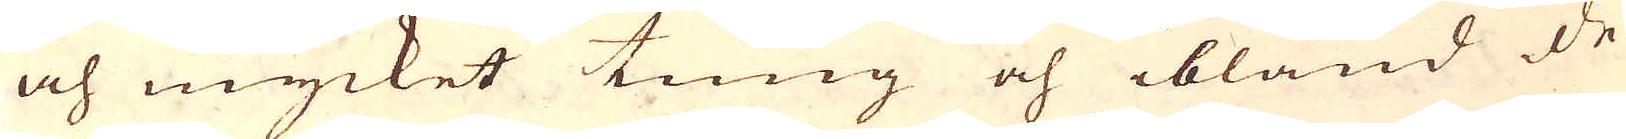och mycket tung och ibland de
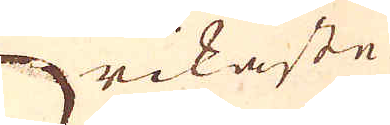rikaste
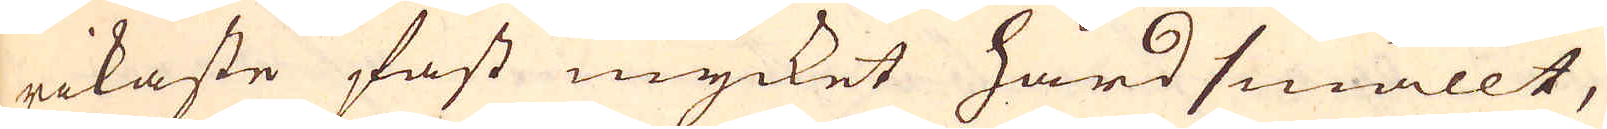rikaste fast mycket hårdsmällt,
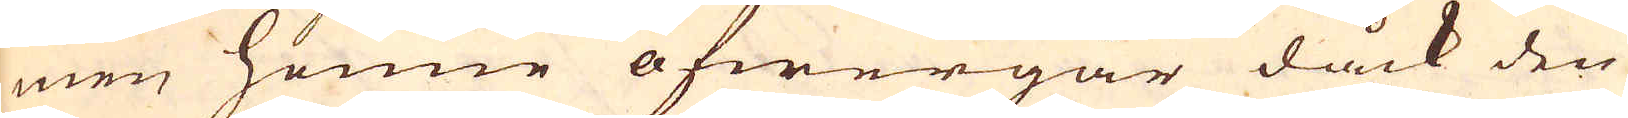men henne öfwergår dåck den
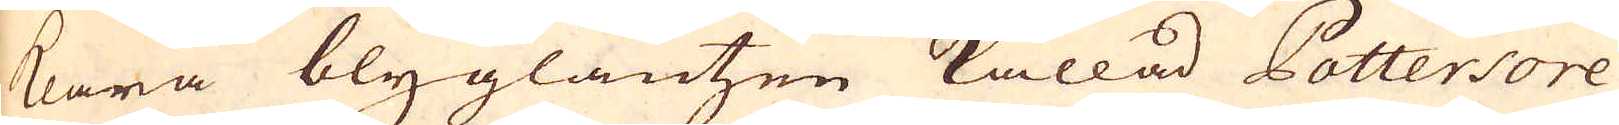klara blyglantzen kallad Pottersore
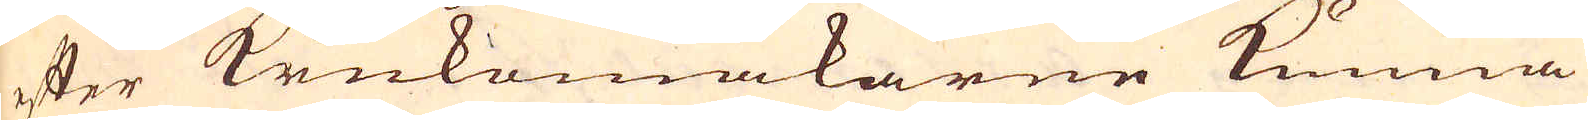efter krukemakarne kunna
